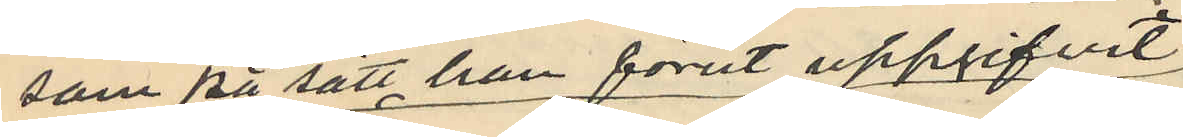som på sätt han förut uppgifvit
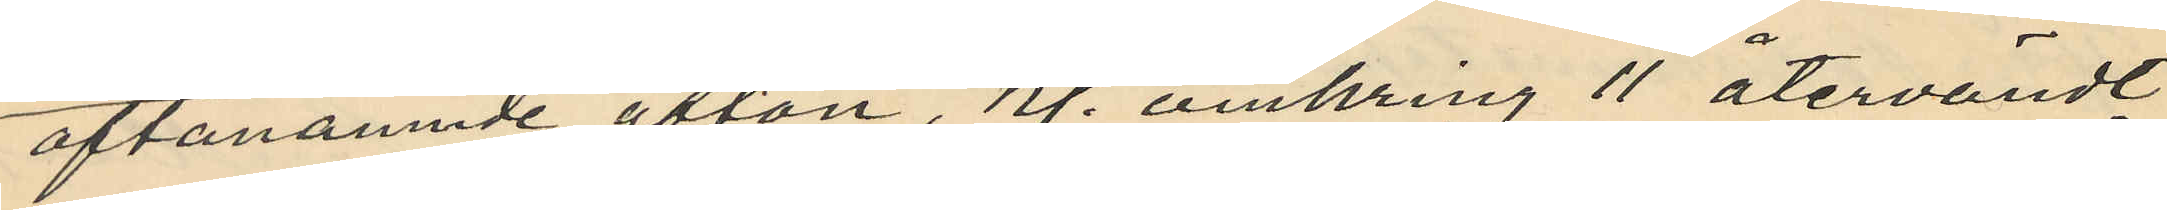oftanämnde afton, kl. omkring 11 återvändt
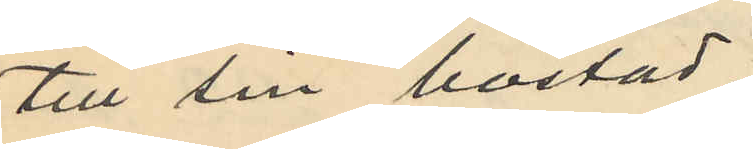till sin bostad
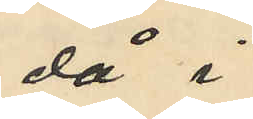då i
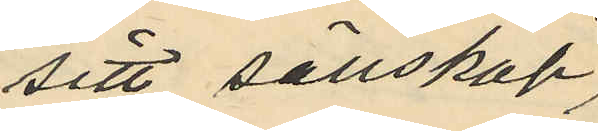sitt sällskap,
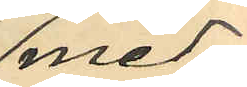med¬
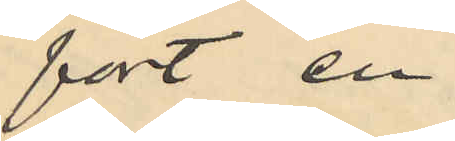fört en
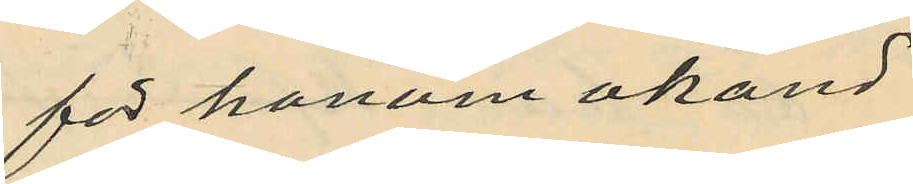för honom okänd
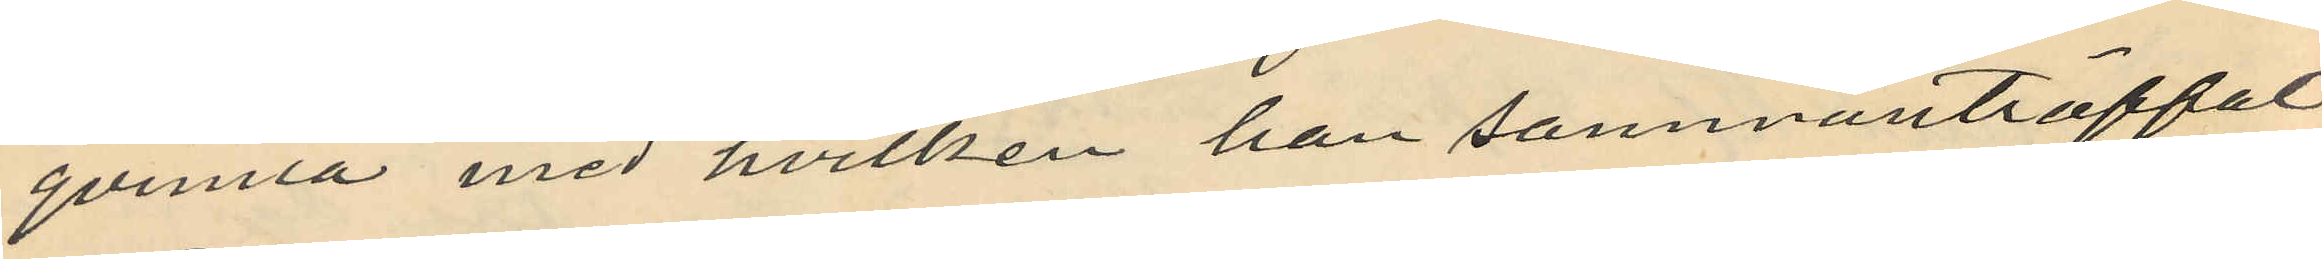qvinna med hvilken han sammanträffat
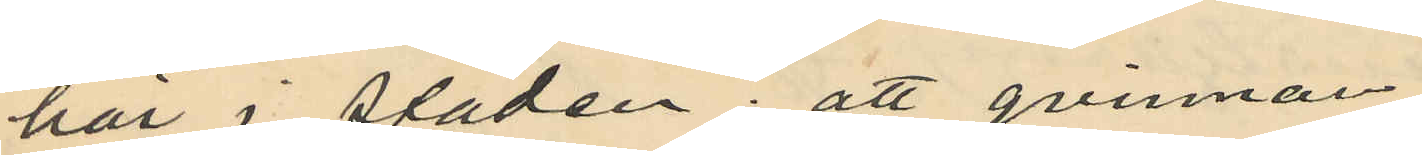här i staden; att qvinnan
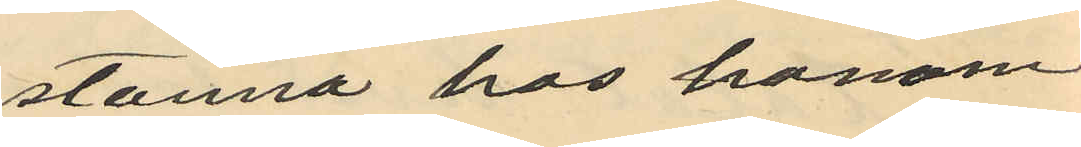stanna hos honom
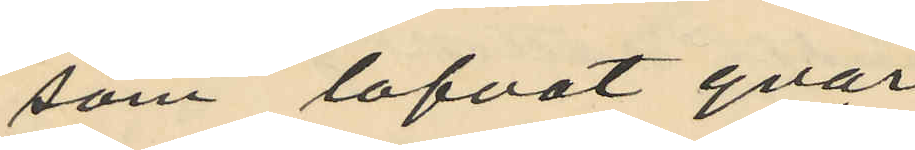som lofvat qvar
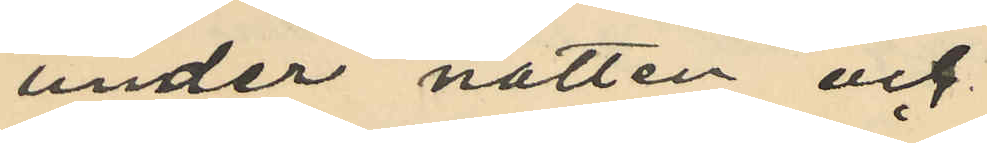under natten och
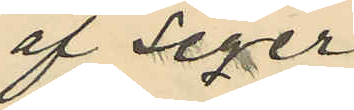af Seger
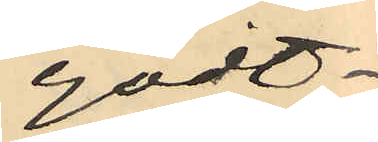godt¬
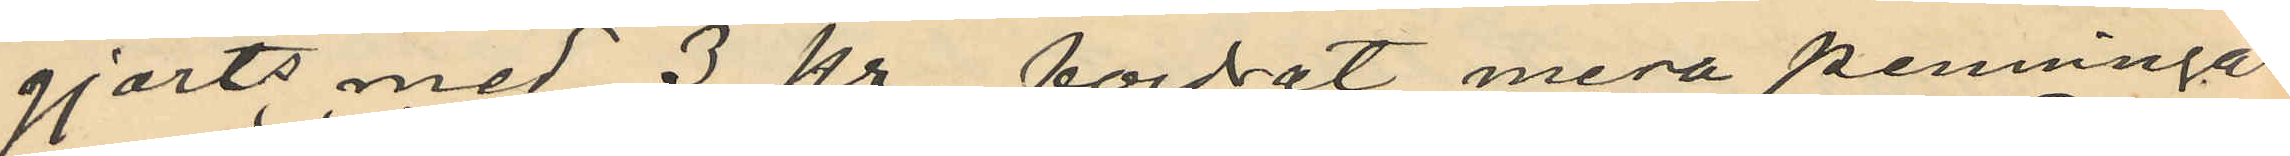gjorts med 3 kr. fordrat mera penningar
